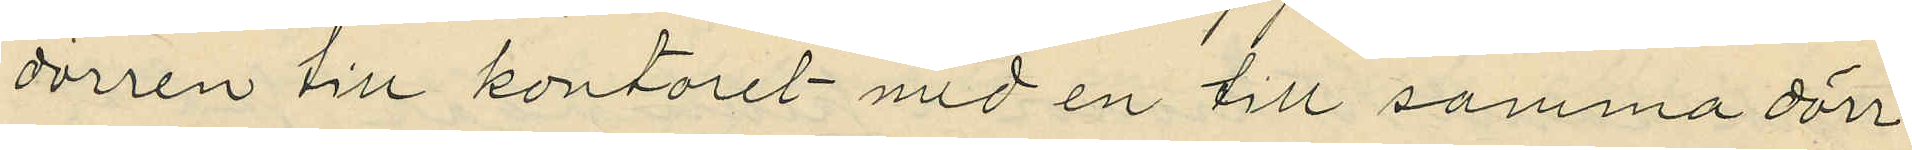dörren till kontoret med en till samma dörr
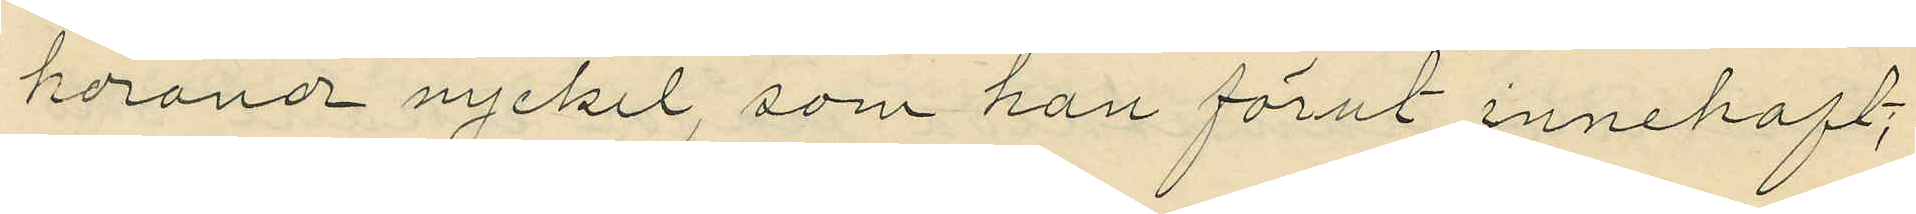horande nyckel, som han förut innehaft;
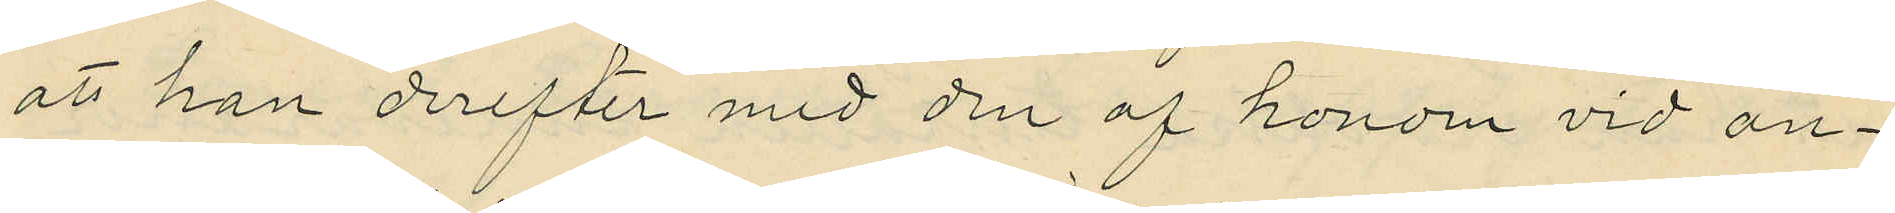att han derefter med den af honom vid an¬
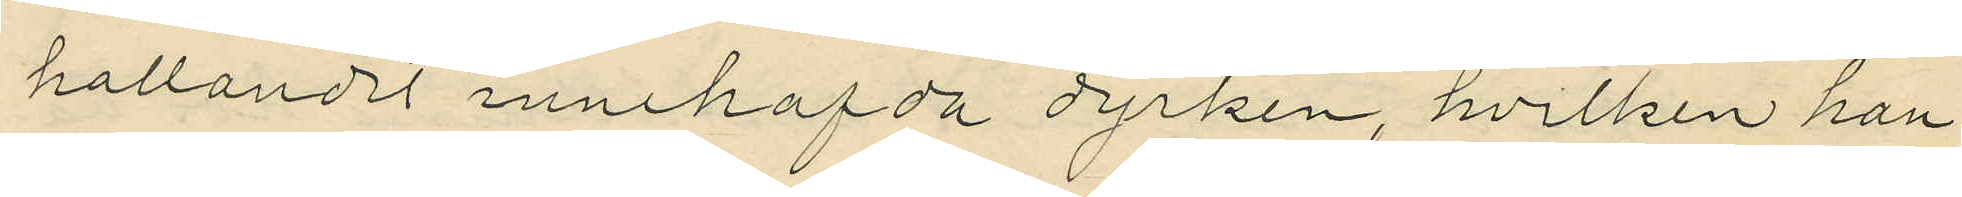hållandet innehafda dyrken, hvilken han
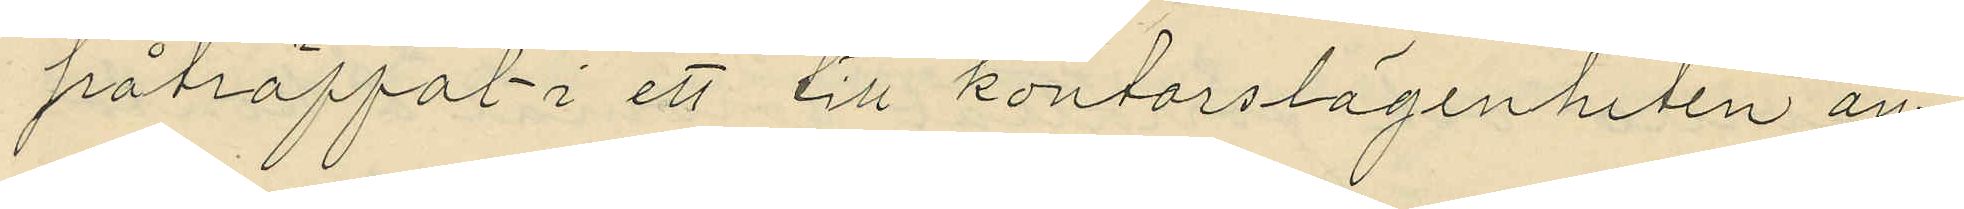påträffat i ett till kontorslägenheten an¬
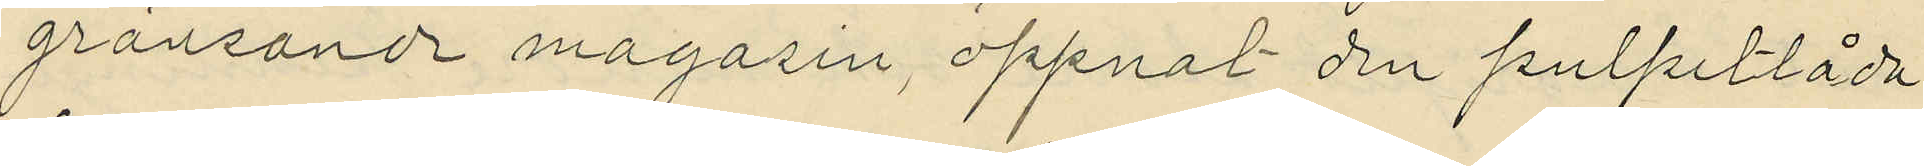gränsande magasin, öppnat den pulpetlåda
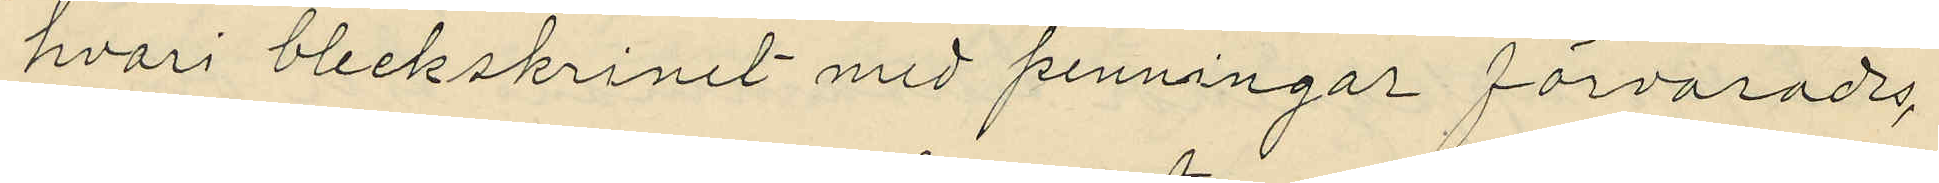hvari bleckskrinet med penningar förvarades,
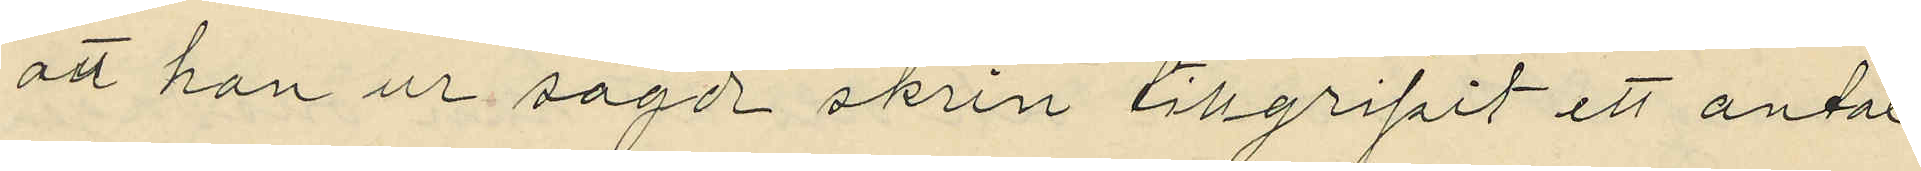att han ur sagde skrin tillgripit ett antal
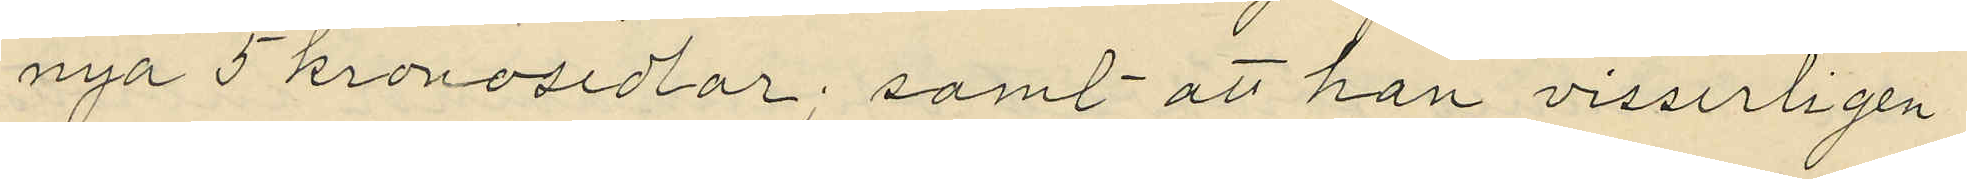nya 5 kronosedlor; samt att han visserligen
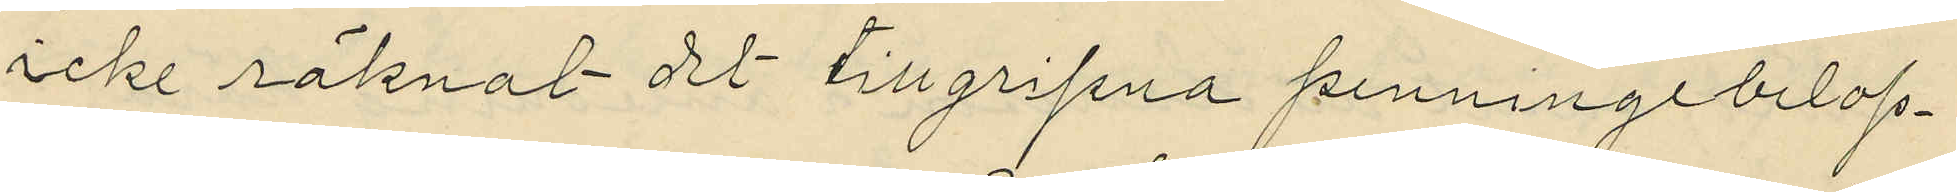icke räknat det tillgripna penningebelop¬
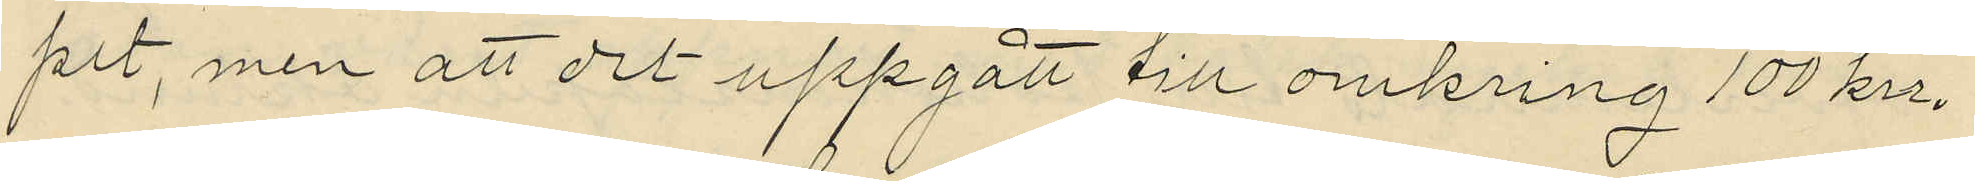pet, men att det uppgått till omkring 100 kr.
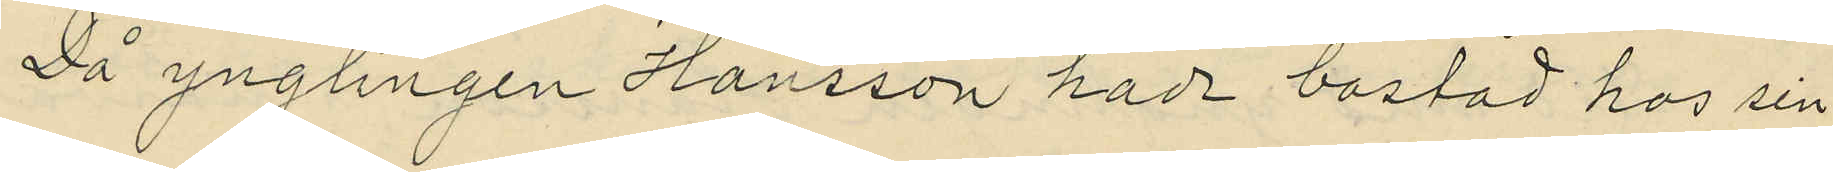Då ynglingen Hansson hade bostad hos sin
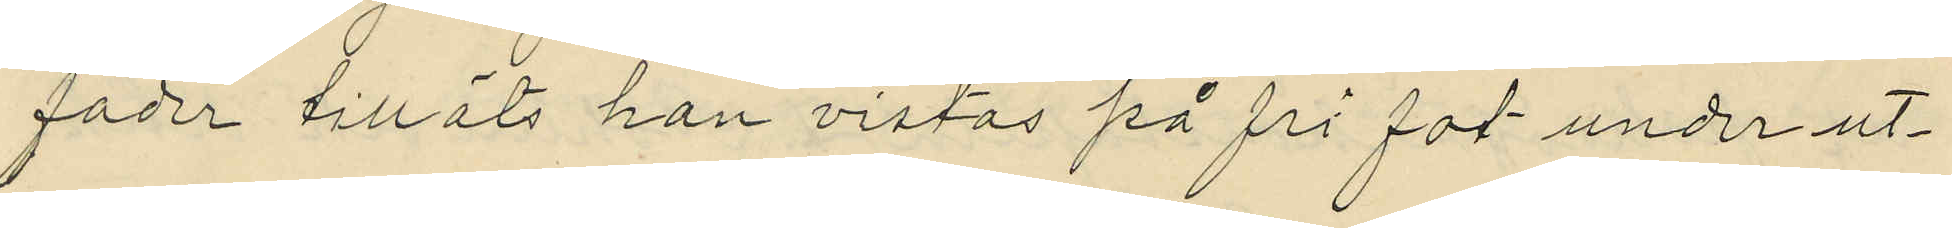fader tilläts han vistas på fri fot under ut¬
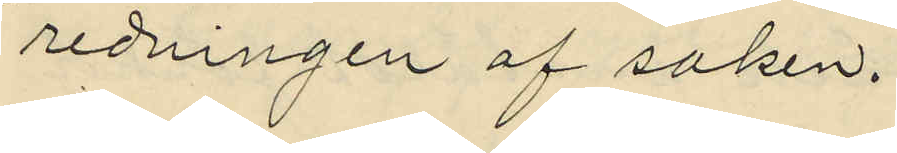redningen af saken.
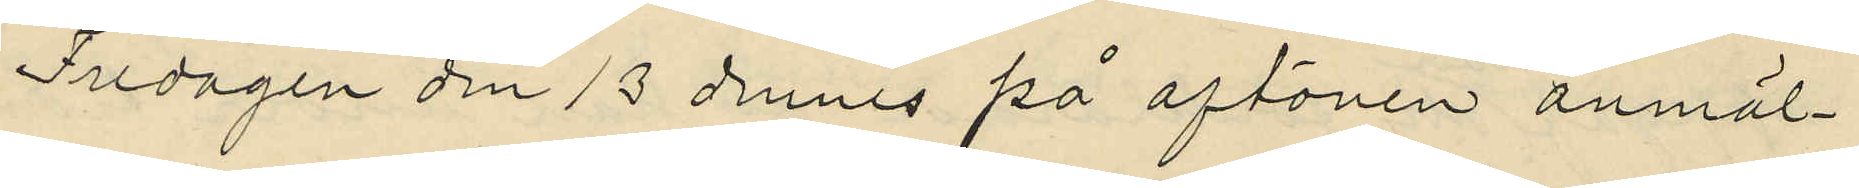Fredagen den 13 dennes på aftonen anmäl¬
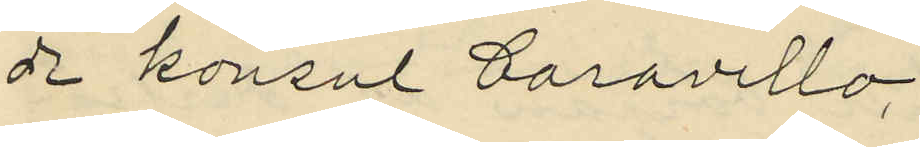de konsul Caravello,
